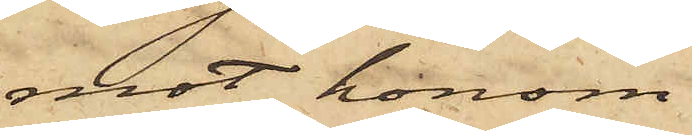mot honom
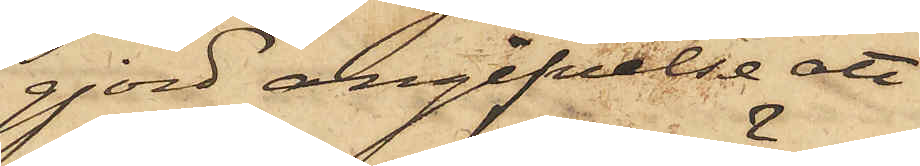gjord angifvelse att
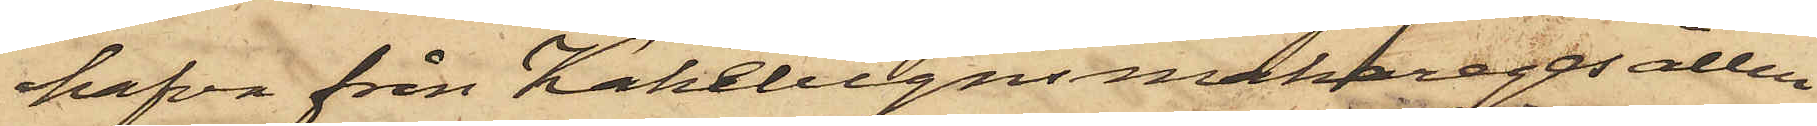hafva från Kakelugnsmakaregesällen
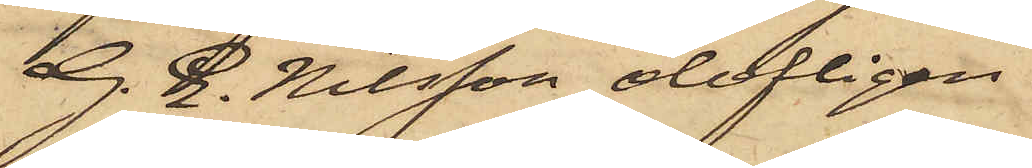G. E. Nilsson olofligen
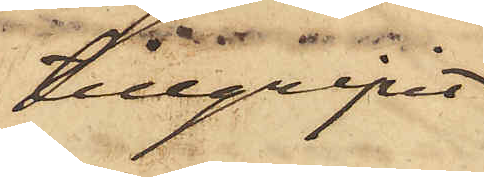tillgripit
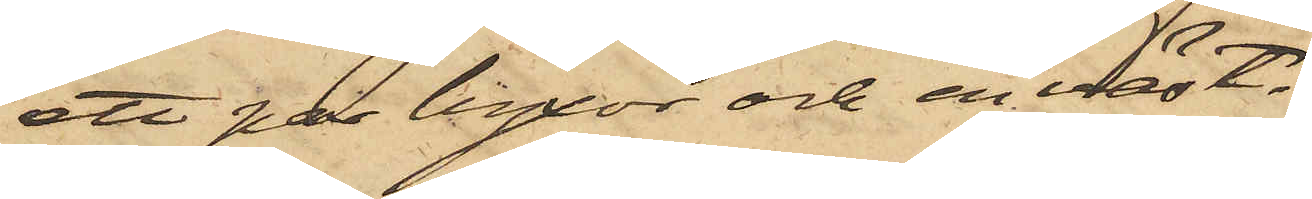ett par byxor och en väst.
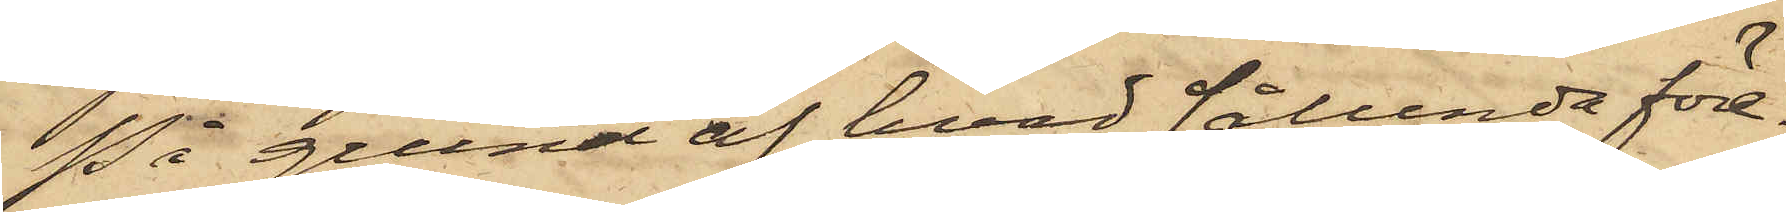På grund af hvad sålunda före¬
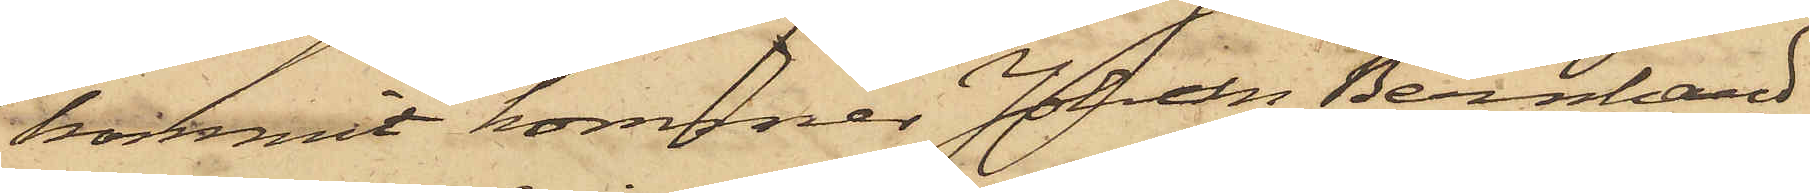kommit, kommer Johan Bernhard
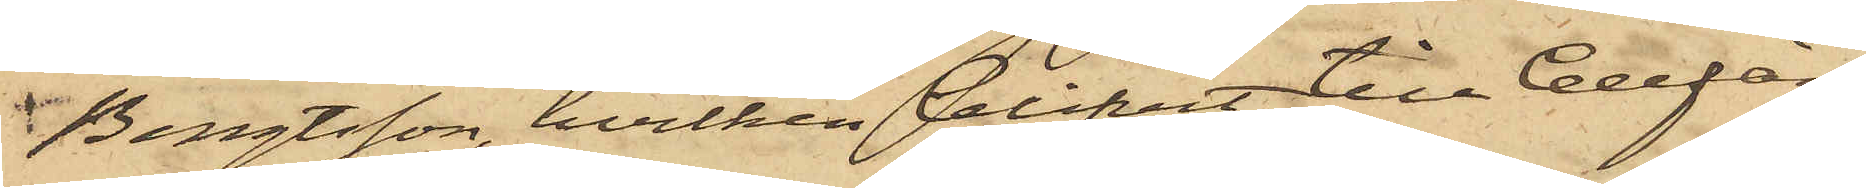Bengtsson, hvilken blifvit till Cellfän¬
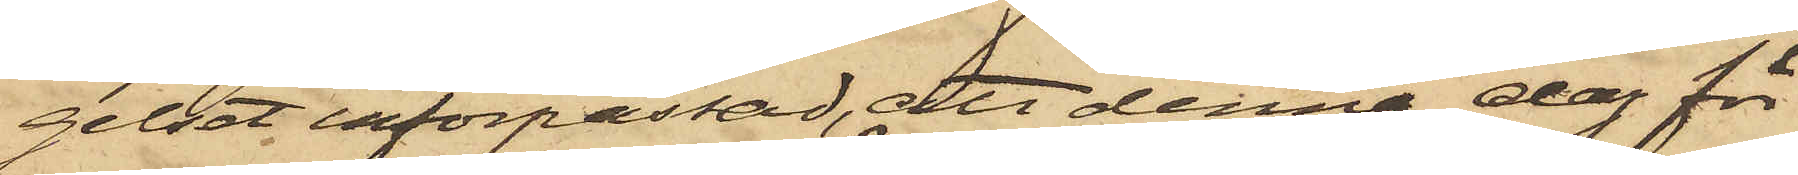gelset införpassad, att denna dag för
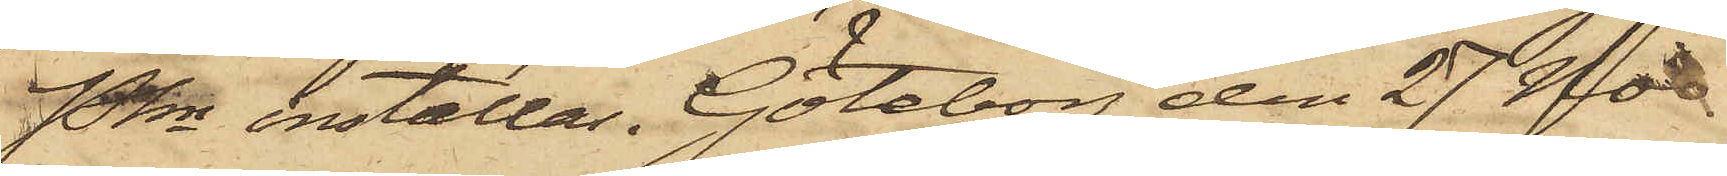PKn inställas. Göteborg den 27 Nov.
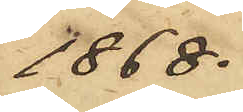1868.
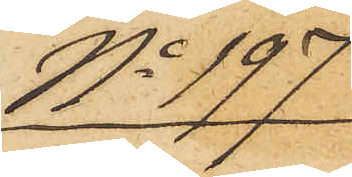No 197
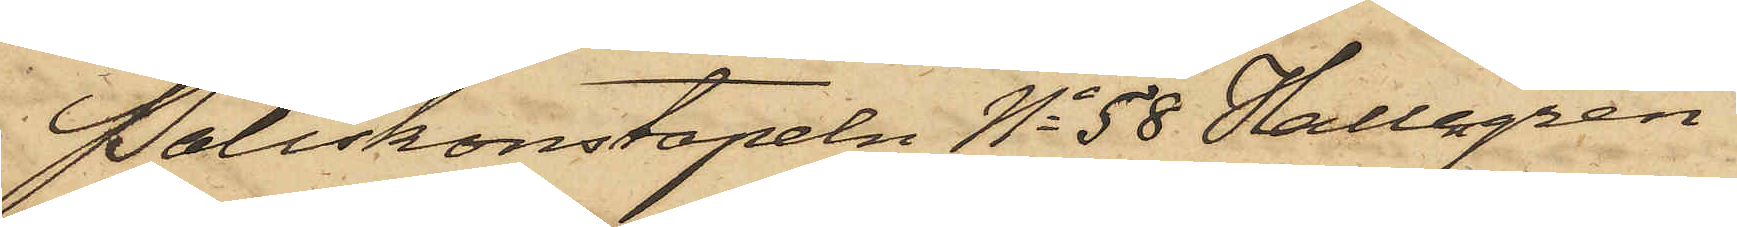Poliskonstapeln No 58 Hallengren
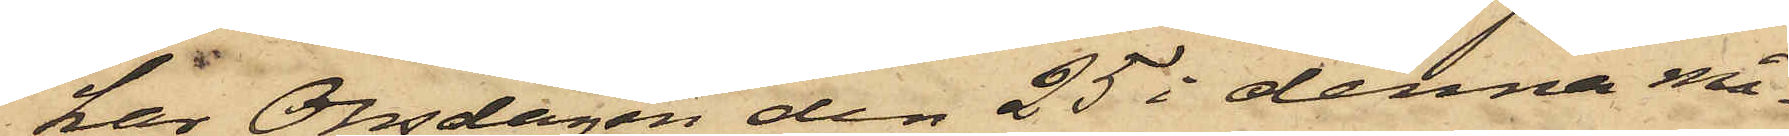har Onsdagen den 25 i denna må¬
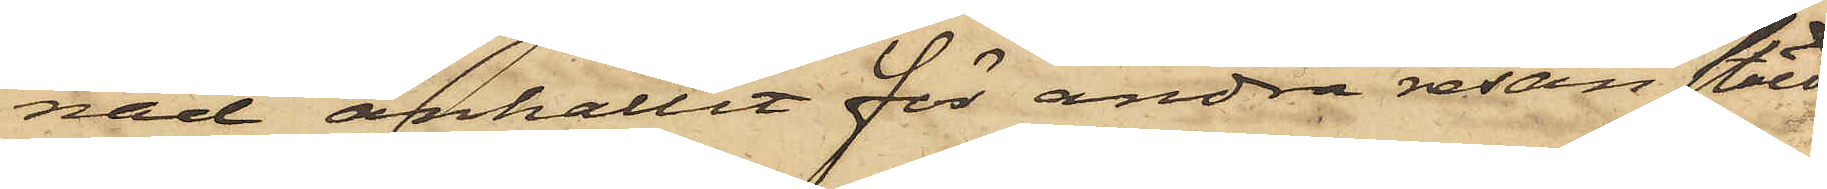nad anhållit för andra resan stöld
